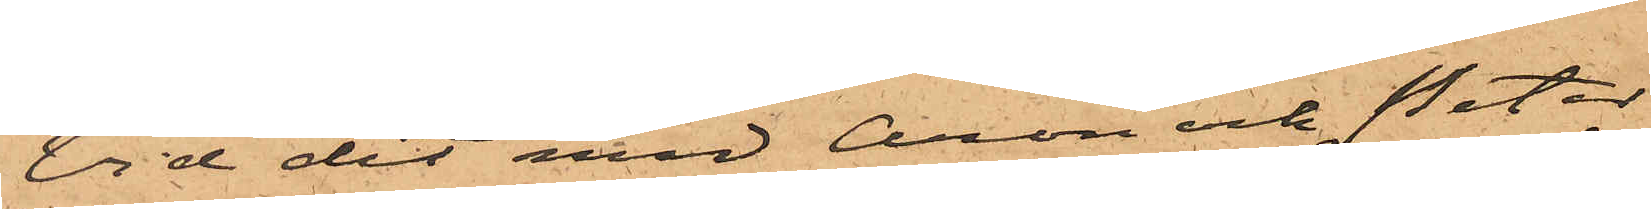Vid det med Aron och Peter
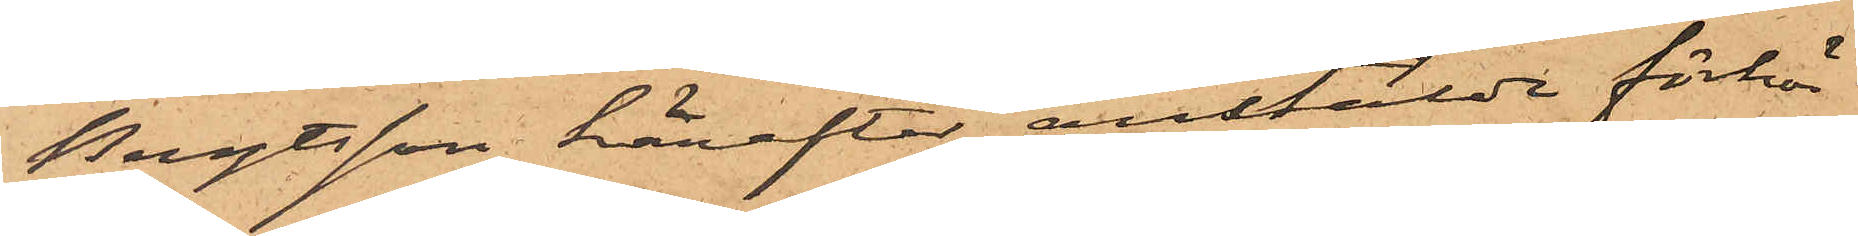Bengtsson härefter anstälde förhör
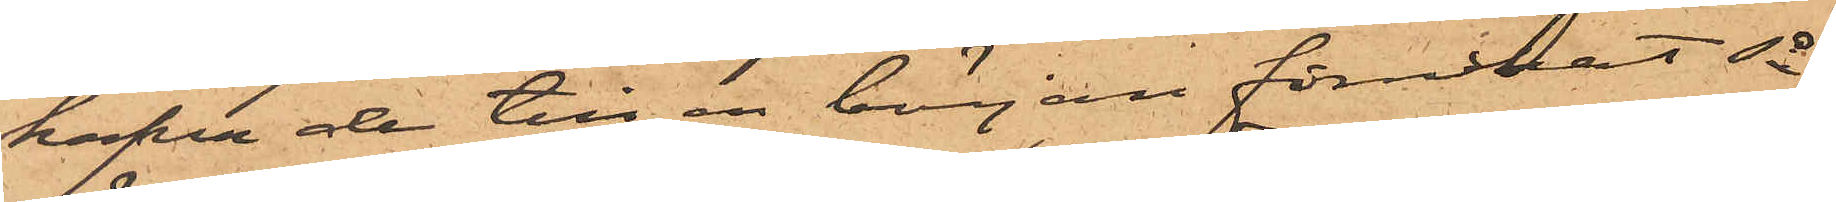hafva de till en början förnekat så
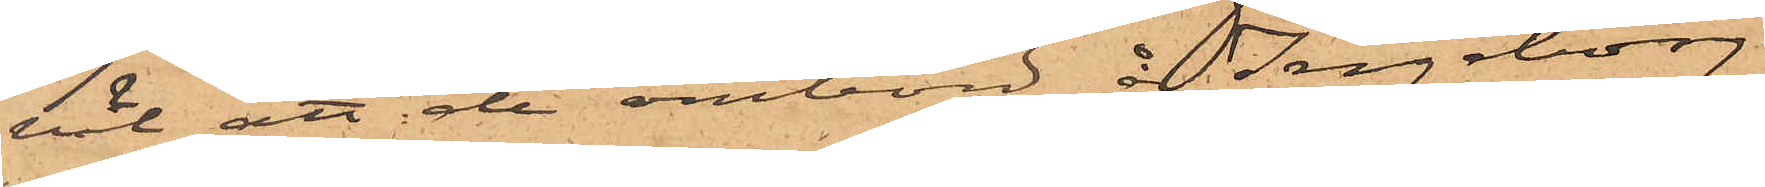väl att de ombord å Ingeborg
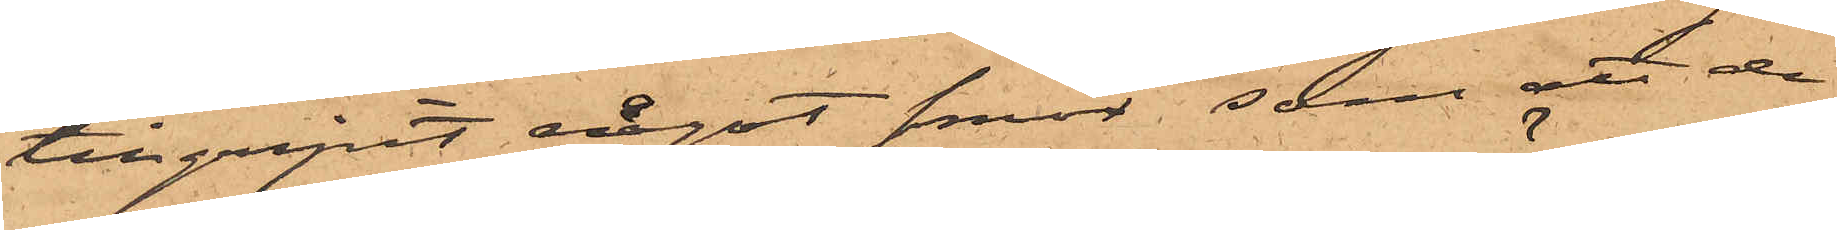tillgripit något smör, som att de
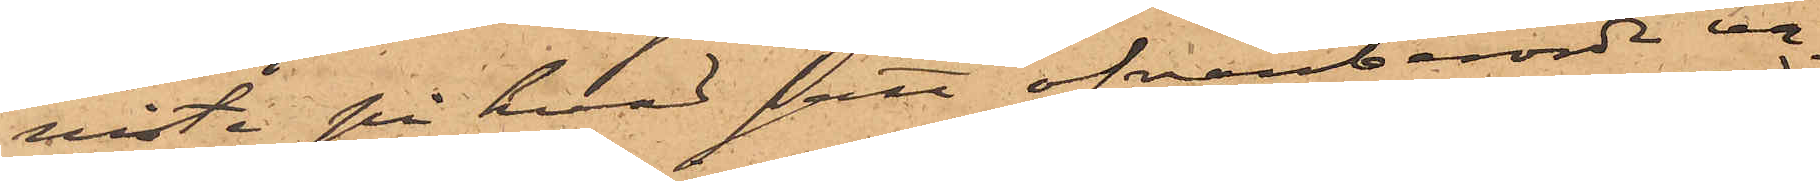visste på hvad sätt ofvanberörde va¬
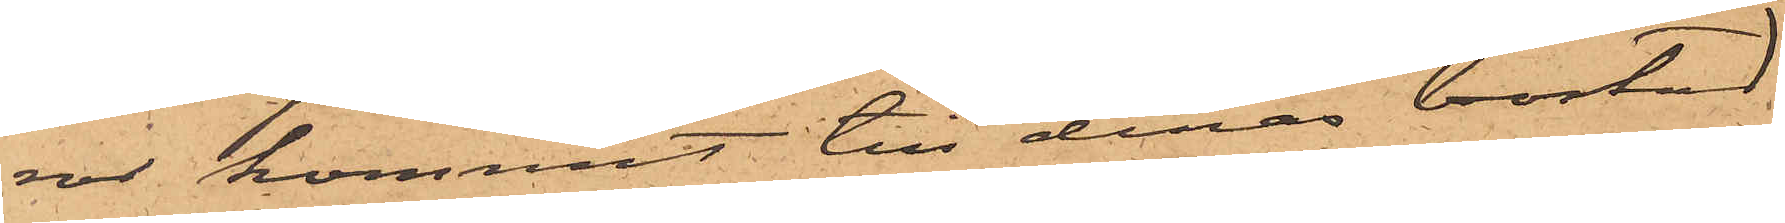ror kommit till deras bostad
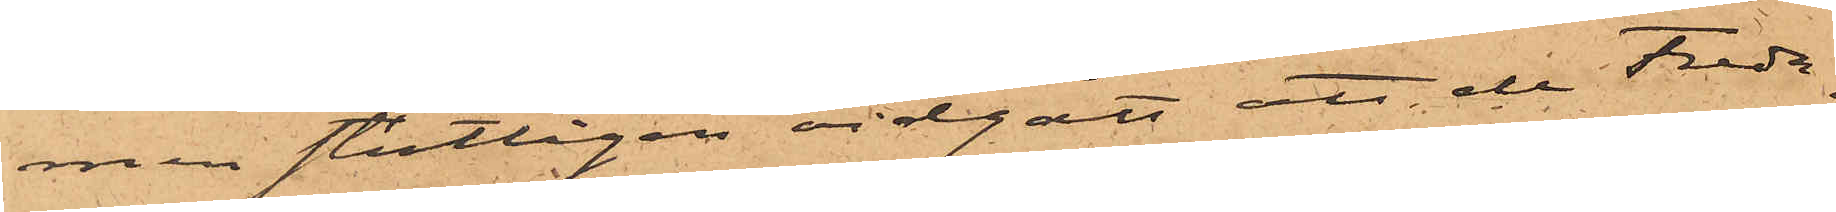men slutligen vidgått, att de Freda¬
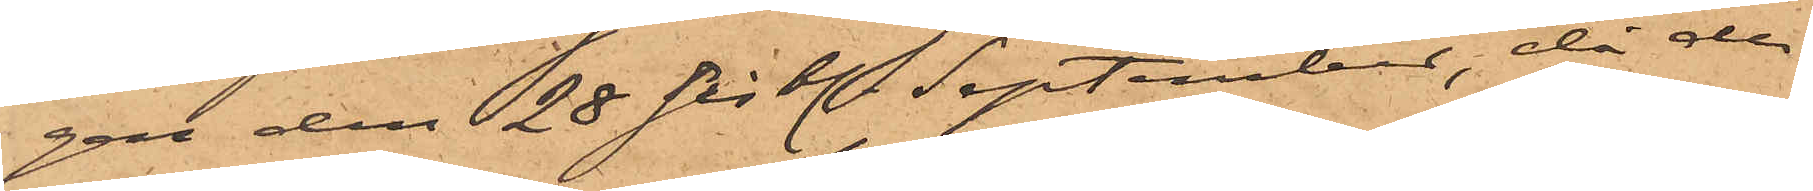gen den 28 sistl. September, då de
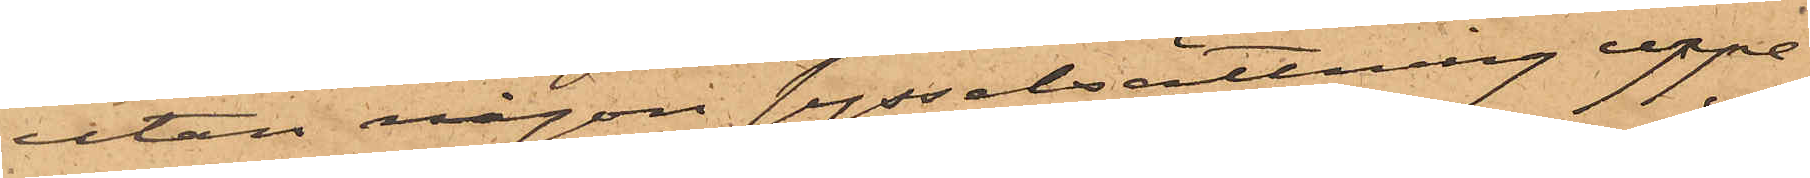utan någon sysselsättning uppe¬
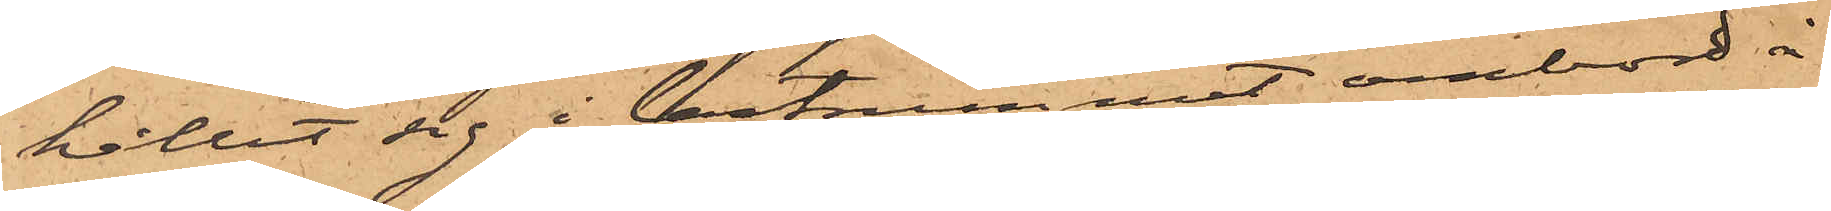hållit sig i lastrummet ombord å
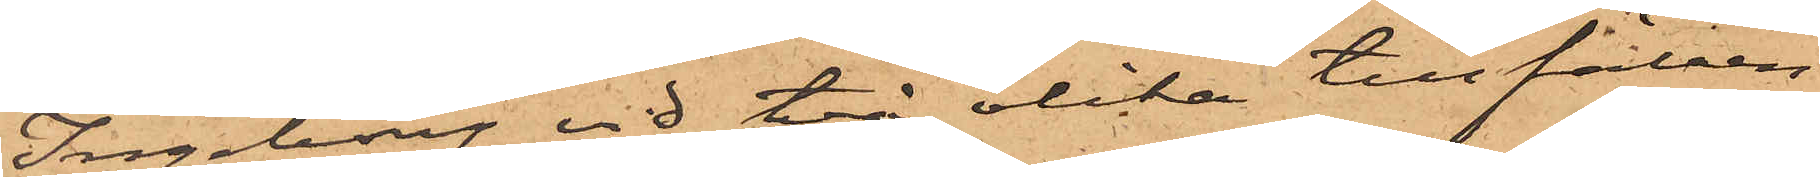Ingeborg vid två olika tillfällen
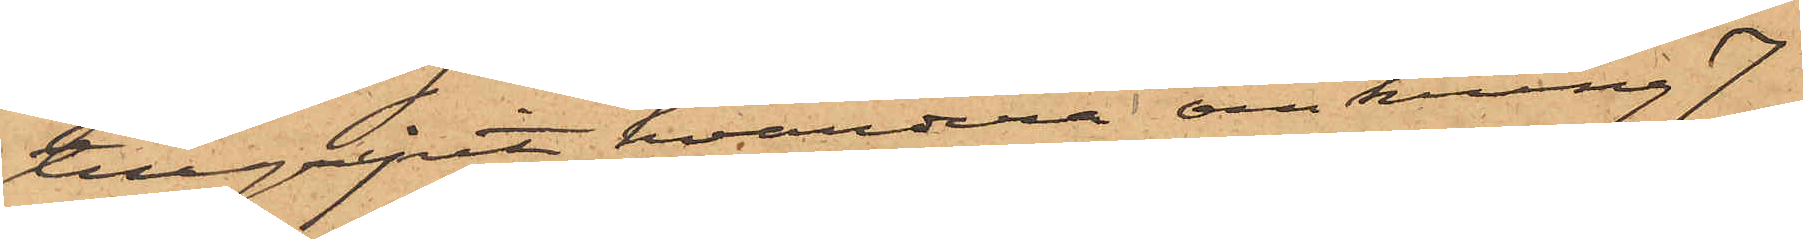tillgripit hvardera omkring 7
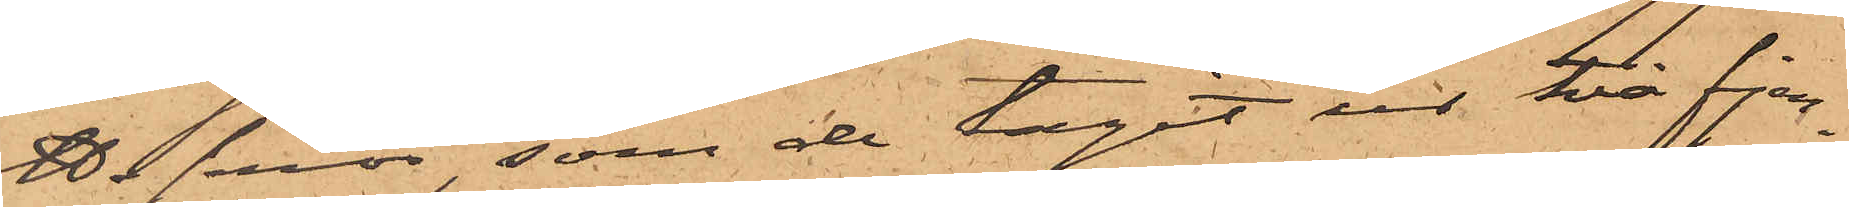℔ smör, som de tagit ur två fjer¬
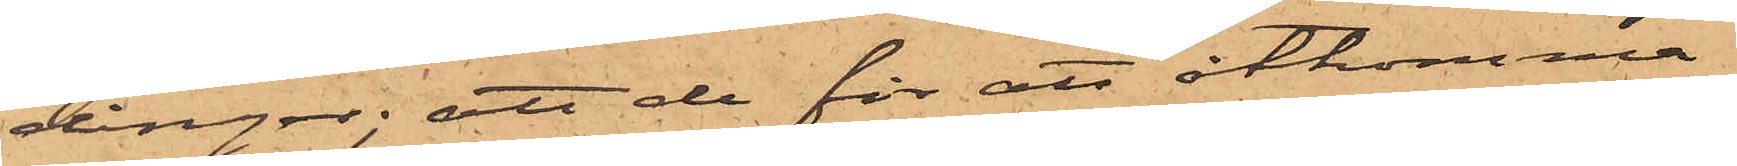dingar; att de för att åtkomma
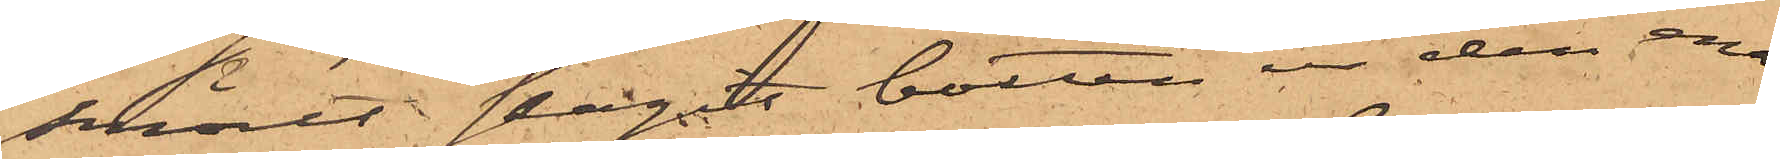smöret slagit botten ur den ena
